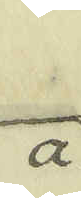a.
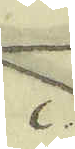c.
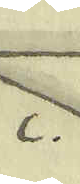c.
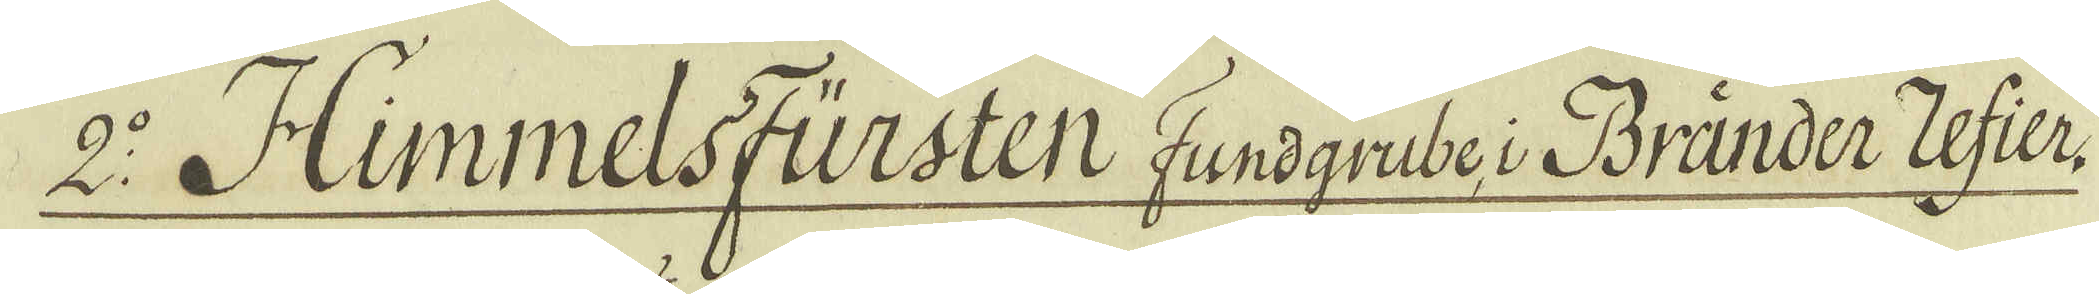2:o Himmelsfürsten Fundgrube i Bränder Zefier
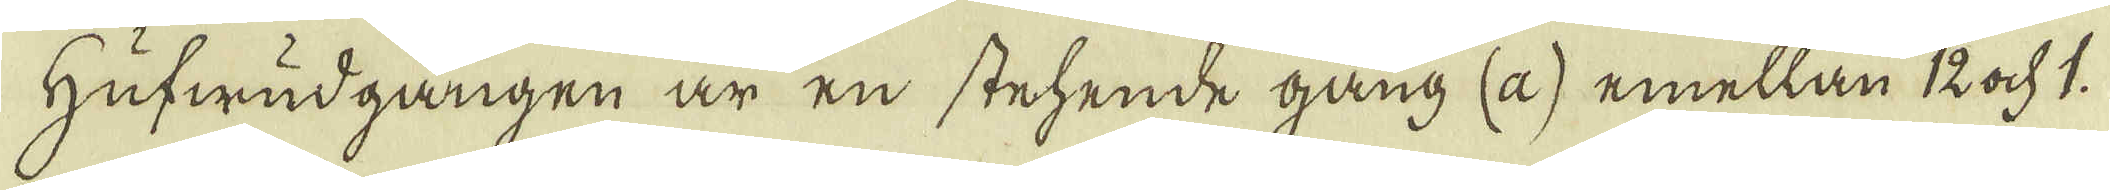Hufwudgången är en stehende gång (a) emellan 12 ock 1.
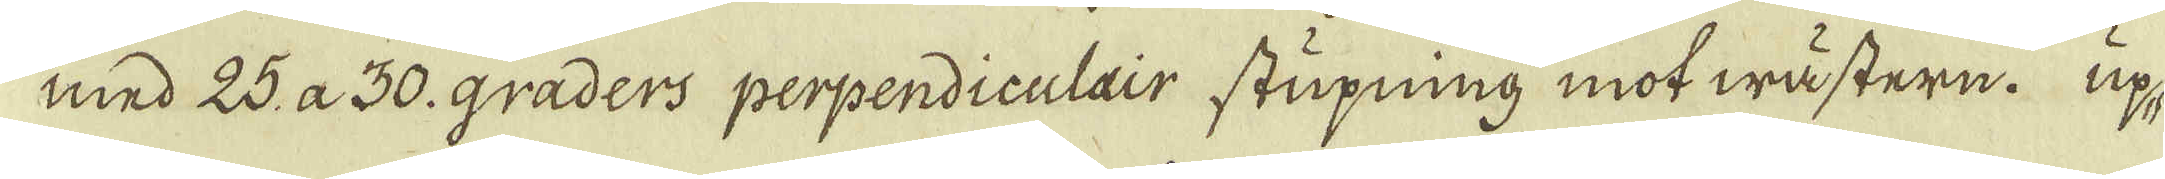med 25 a 30. graders perpendiculair stupning mot wästern. up-
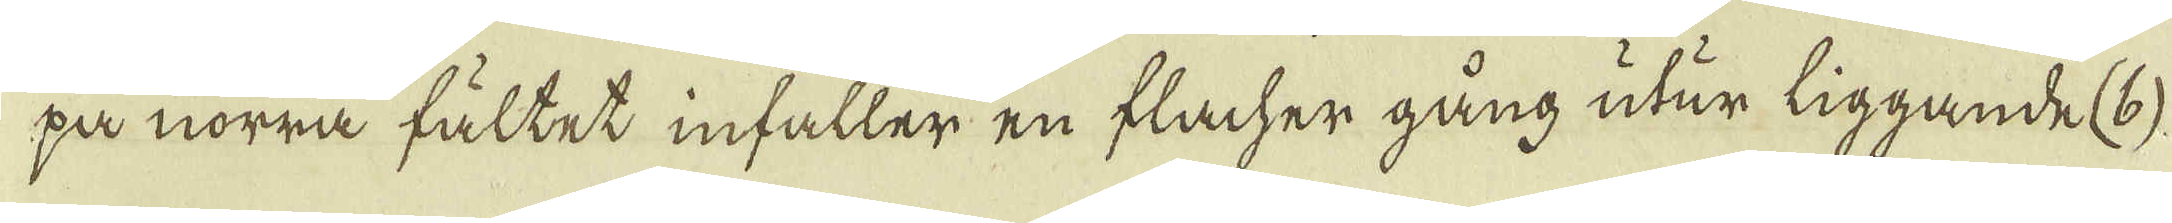på norra fältet infaller en flacher gång utur liggande (b)
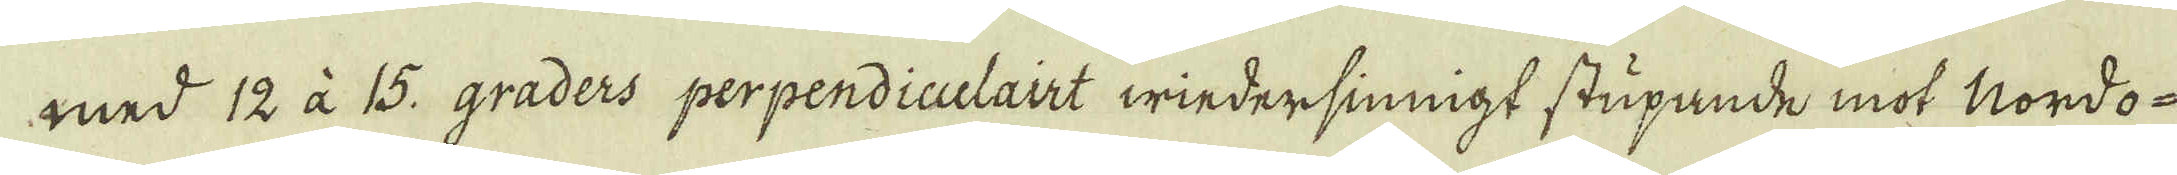med 12 à 15. graders perpendiculairt wiedersiningt stupande mot Nordo-
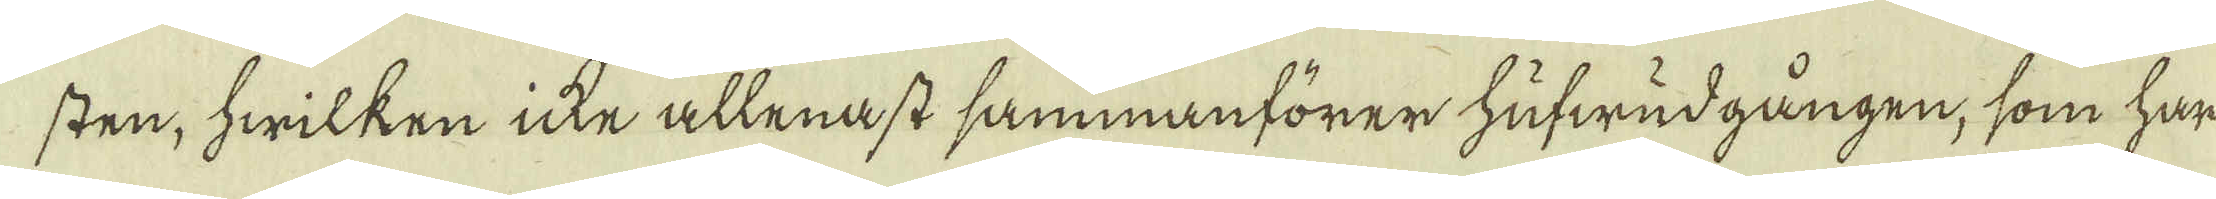sten, hwilken icke allenast sammanförer hufwudgången, som har
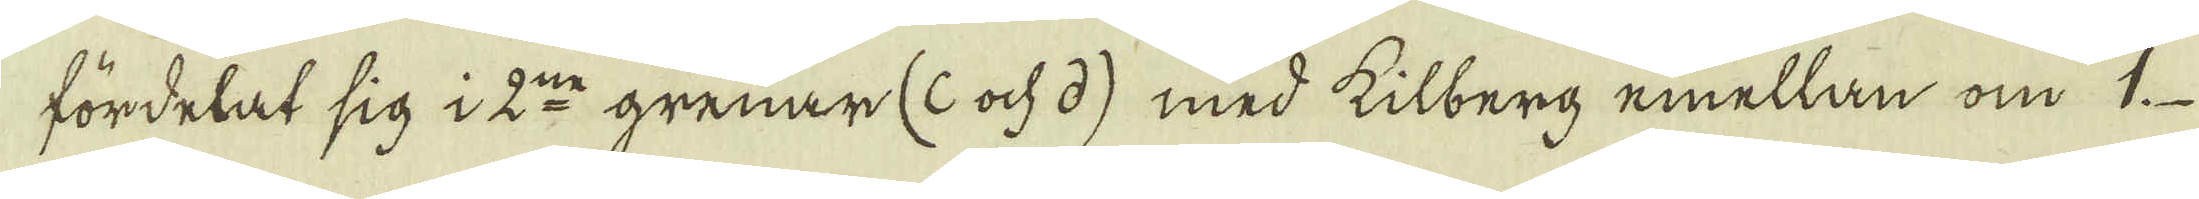fördelat sig i 2:ne grenar (c ock d) med kilberg emellan om 1.
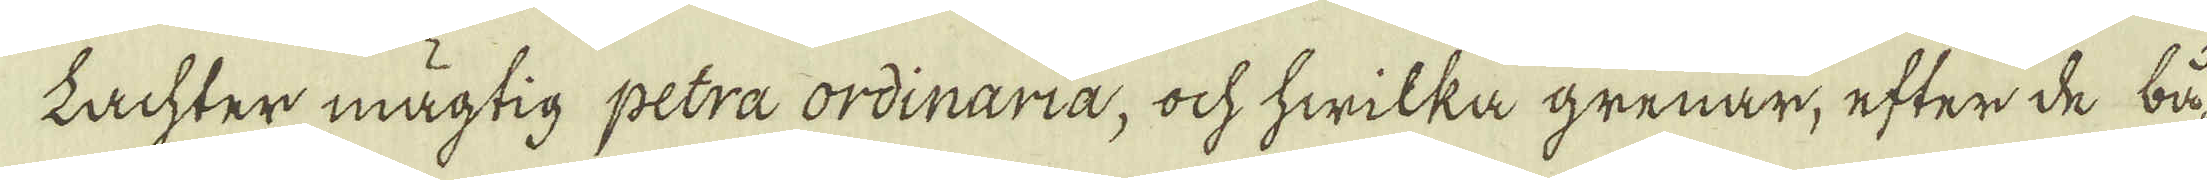Lachter mägtig petra ordinaria, ock hwilka grenar, efter de bå-
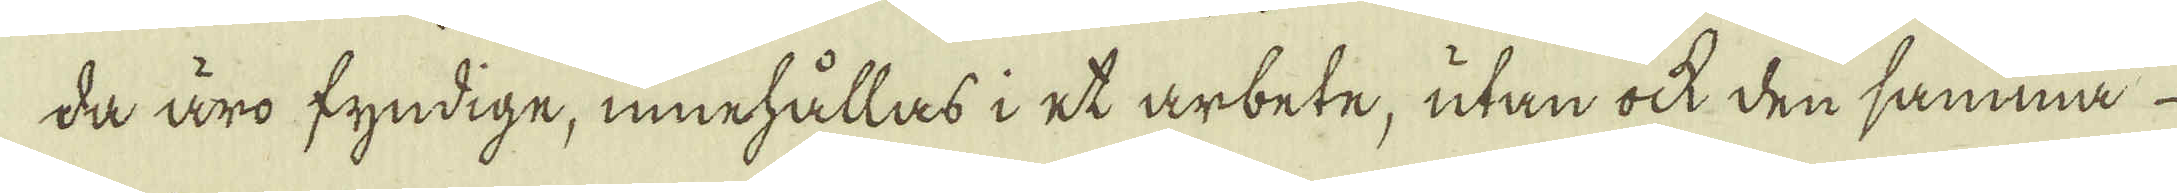da äro fyndige, innehållas i et arbete, utan ock den samma
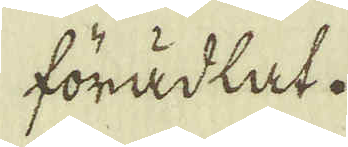förädlat.
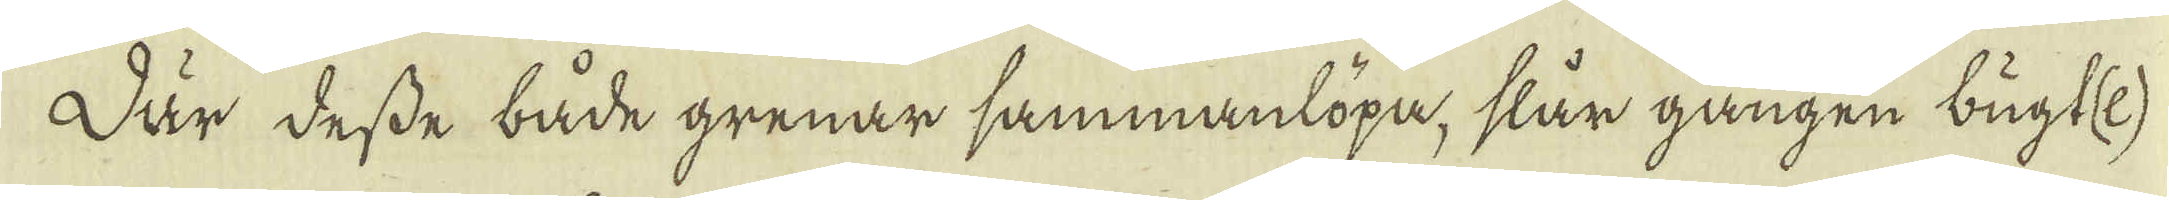Där desse både grenar sammanlöpa, slår gången bugt(e)
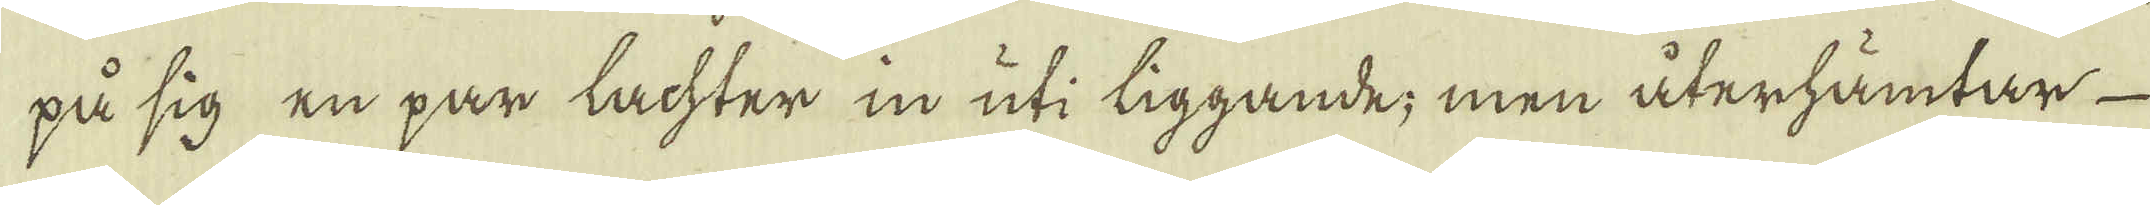på sig en par lachter in uti liggande; men återhämtar
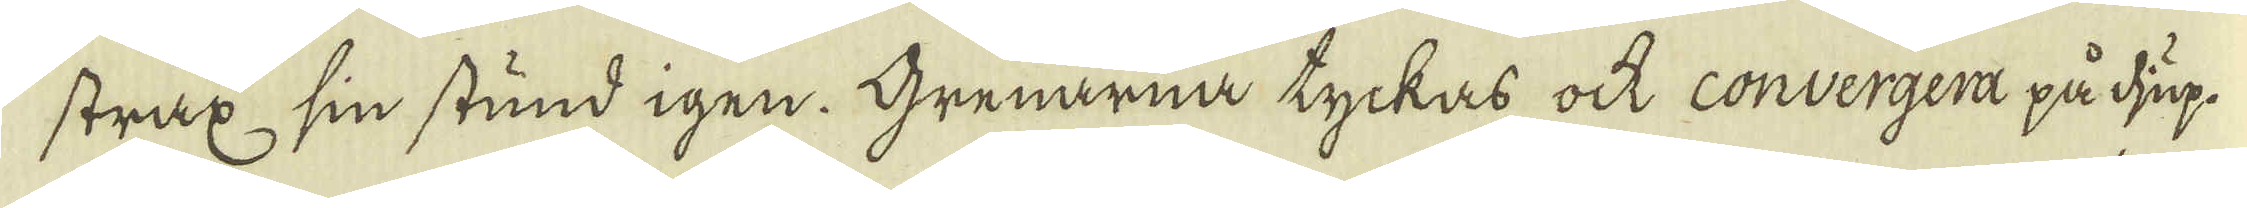strax sin stund igen. Grenarna tyckas ock convergera på djup.
